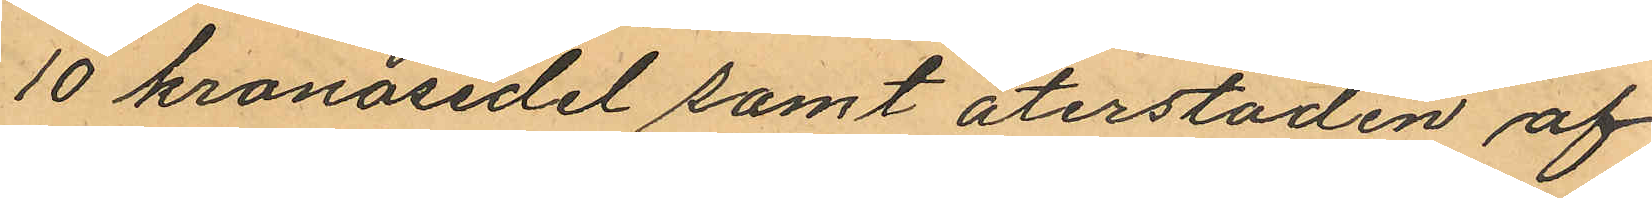10 kronosedel samt återstoden af
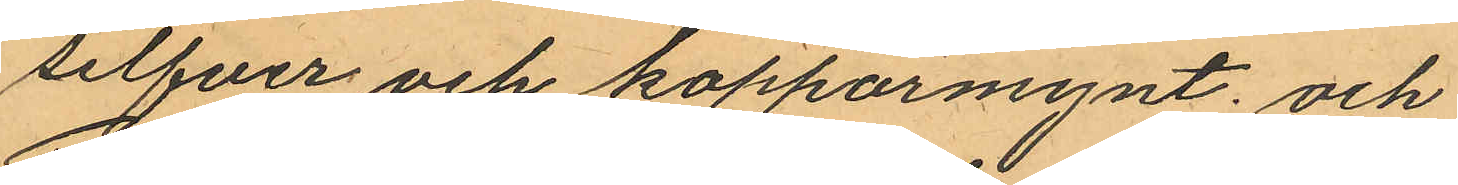silfver och kopparmynt; och
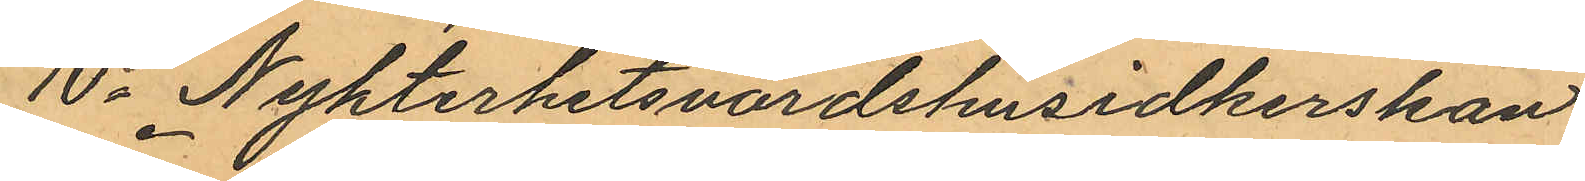10o Nykterhetsvärdshusidkerskan
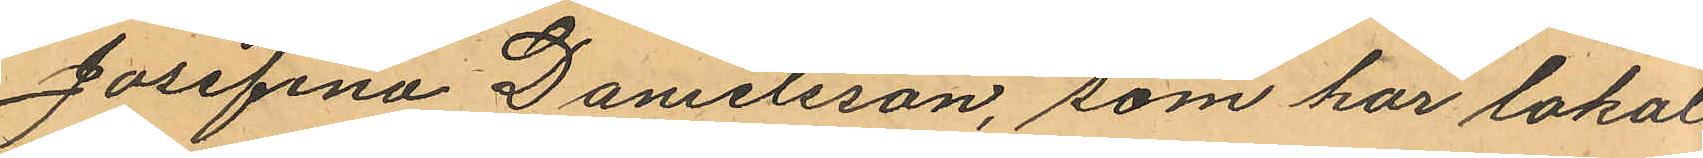Josefina Danielsson, som har lokal
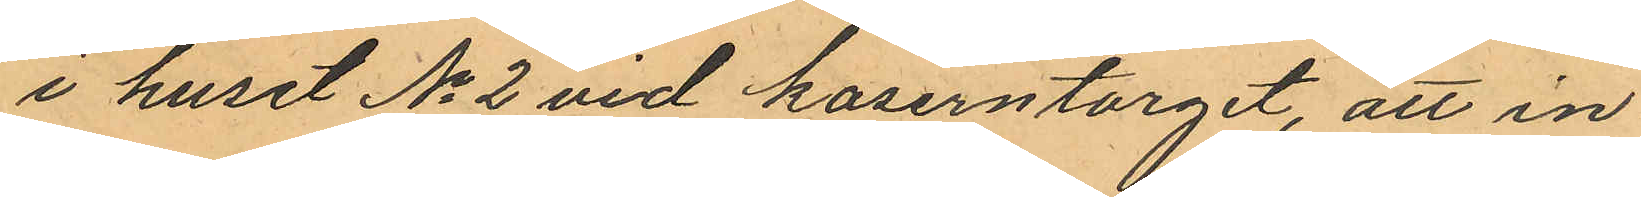i huset No 2 vid kaserntorget, att in¬
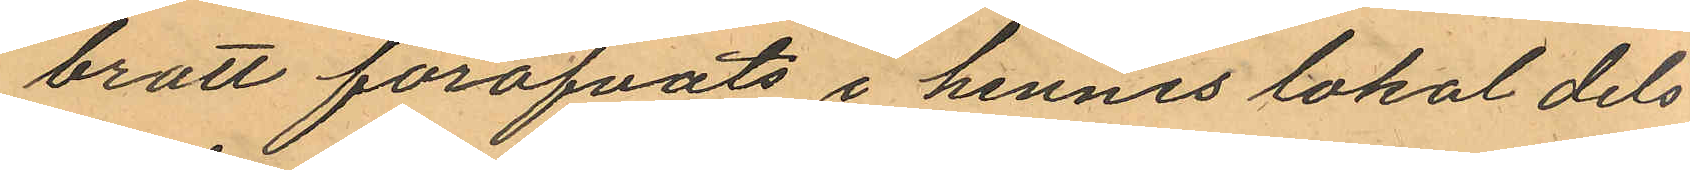brott föröfvats i hennes lokal dels
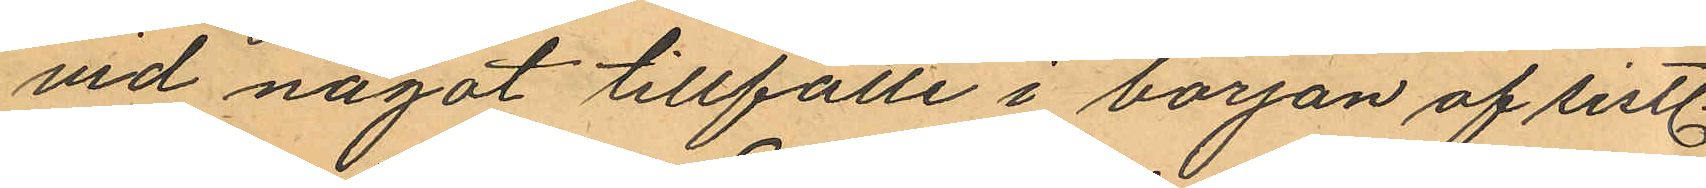vid något tillfälle i början af sistl.
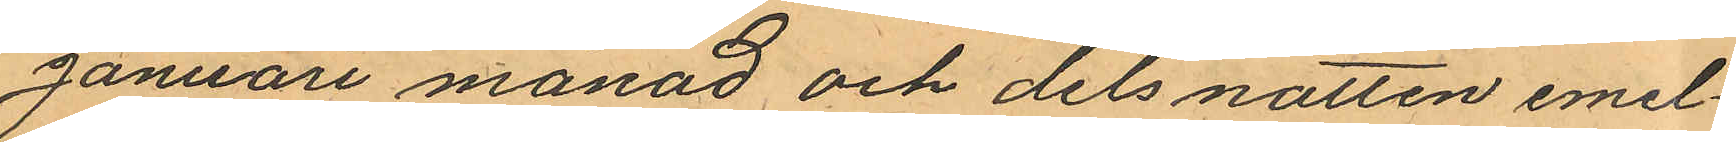Januari månad och dels natten emel¬
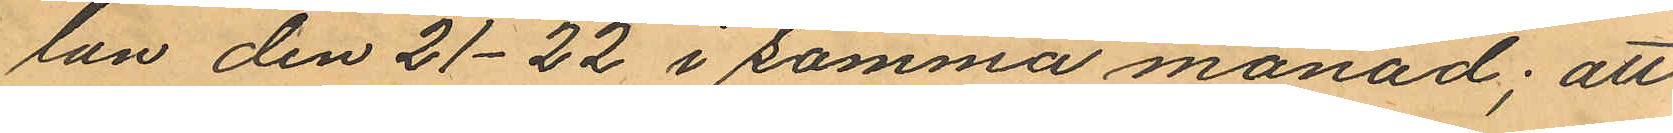lan den 21-22 i samma månad; att
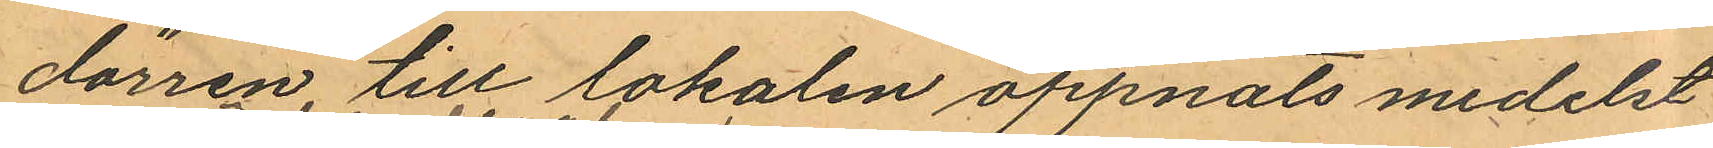dörren till lokalen öppnats medelst
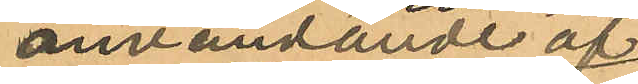användande af
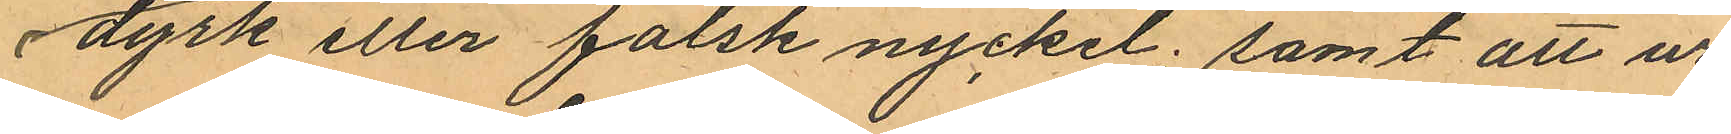dyrk eller falsk nyckel; samt att ur
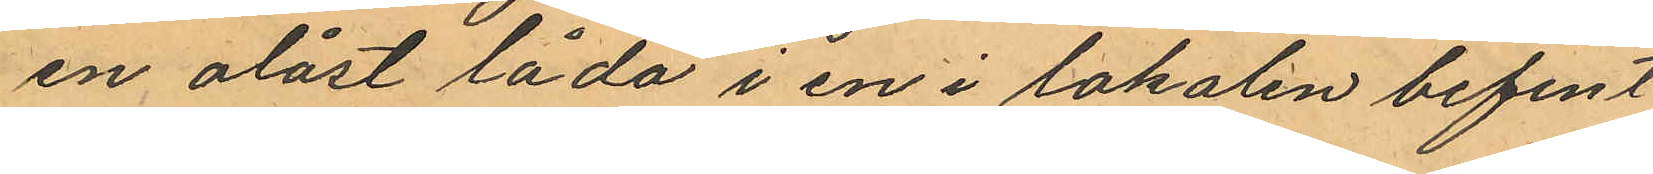en olåst låda i en i lokalen befint
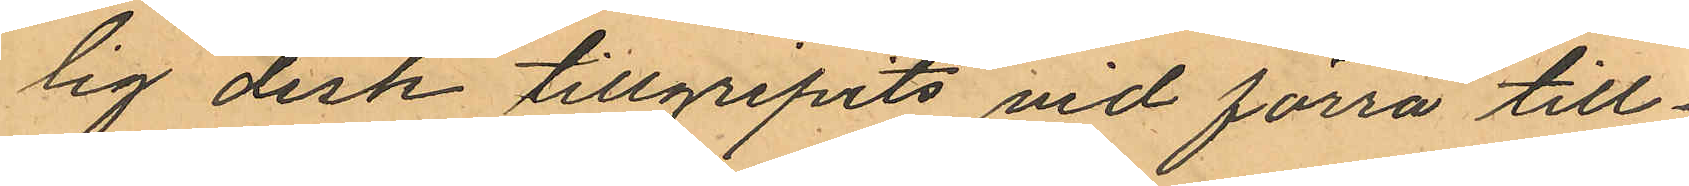lig disk tillgripits vid förra till¬
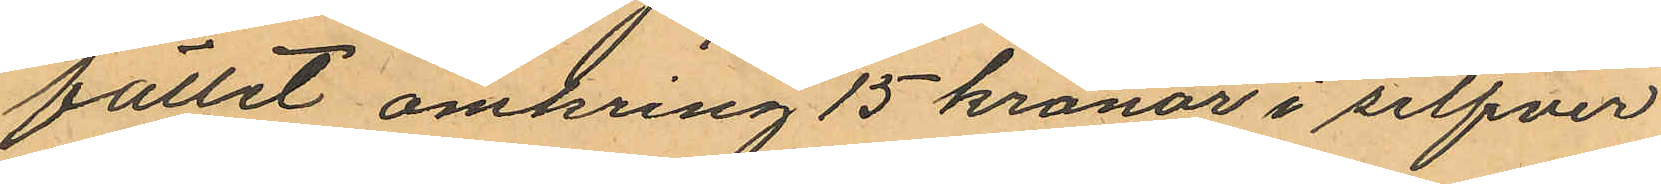fället omkring 15 kronor i silfver
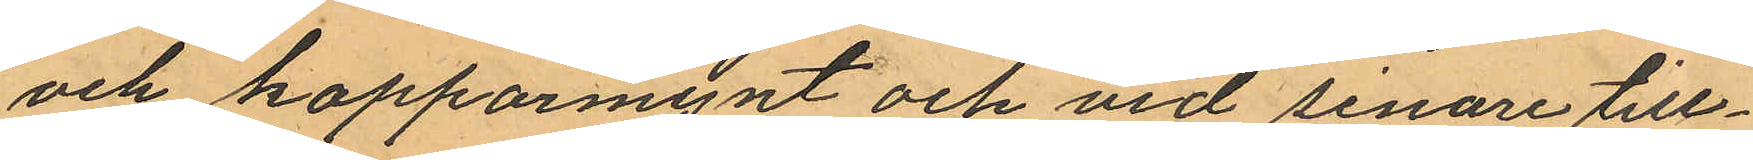och kopparmynt och vid senare till¬
